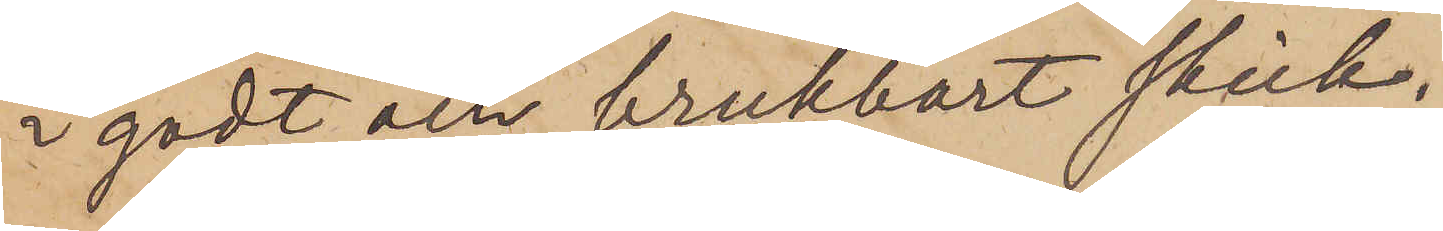i godt och brukbart skick.
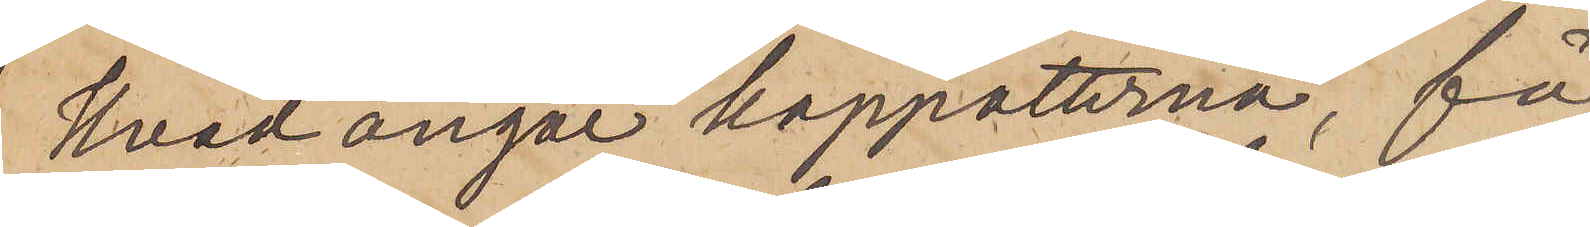Hvad angår kappotterna, få
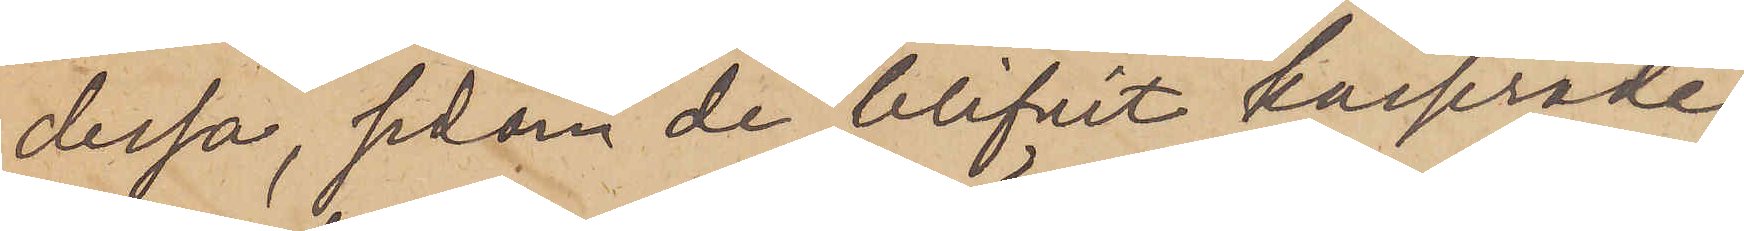dessa, sedan de blifvit kasserade,
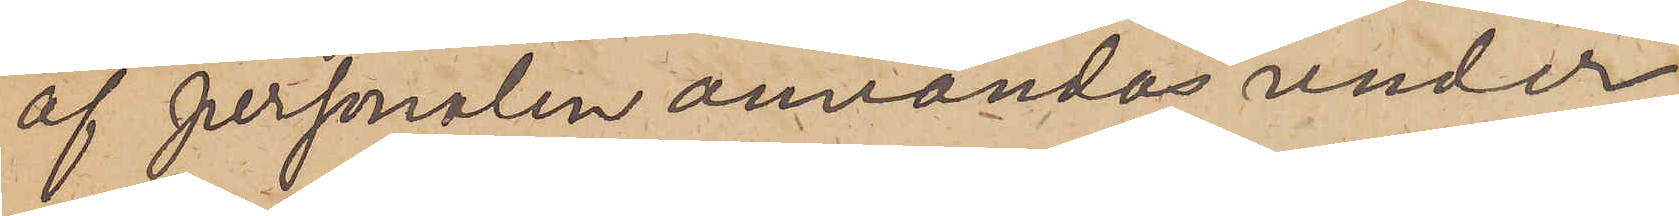af persnalen användas under
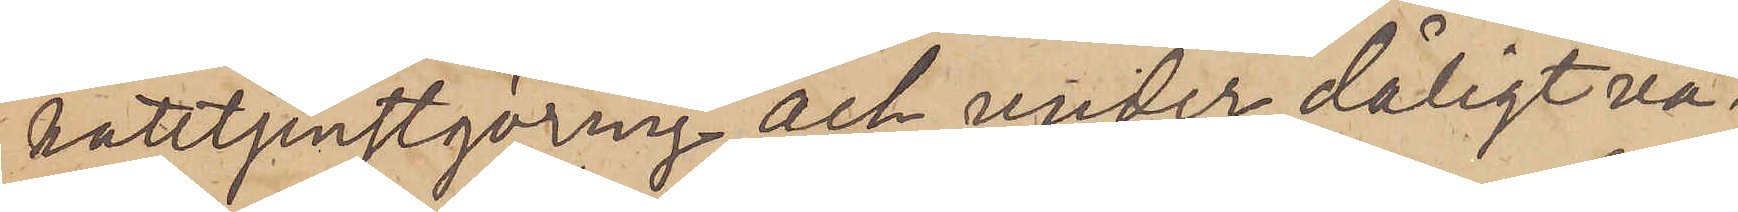natttjenstgöring och under dåligt vä¬
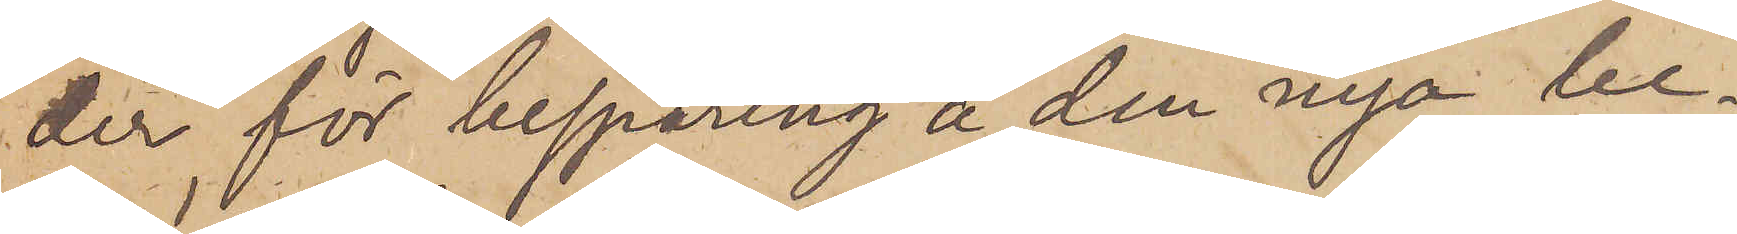der för besparing å den nya be¬
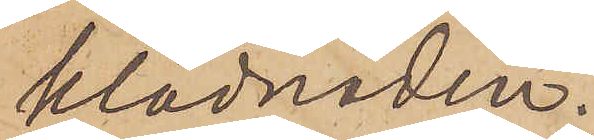klädnaden.
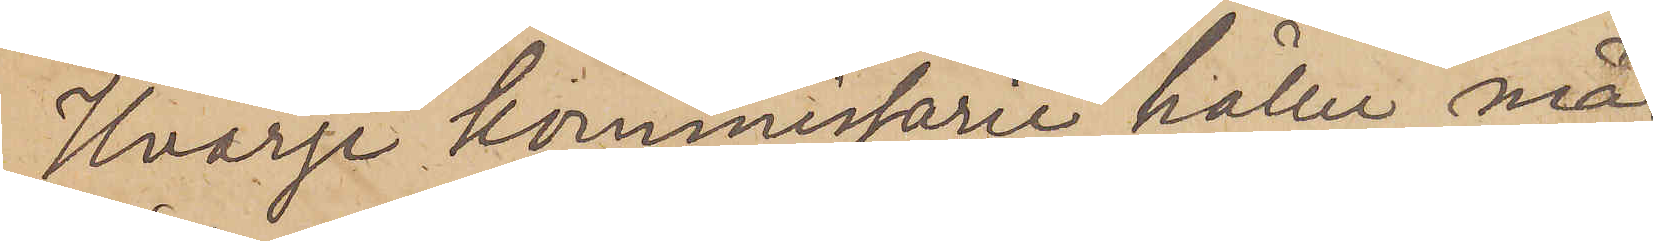Hvarje kommissarie håller må¬
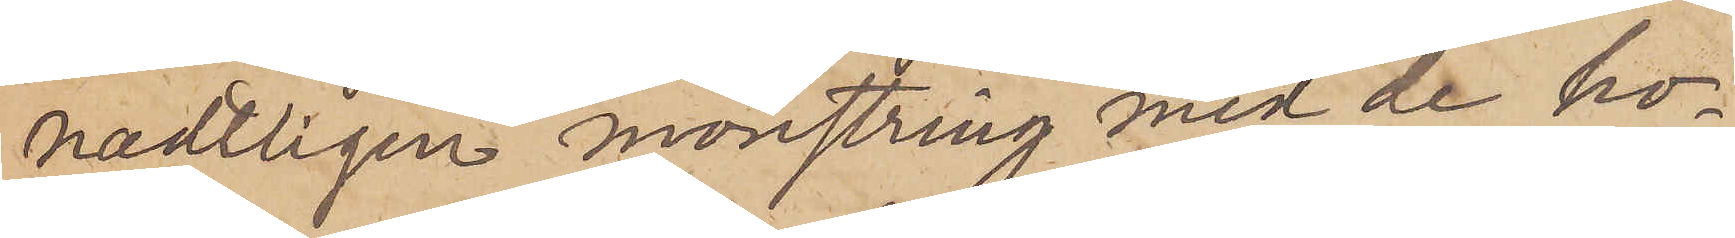nadtligen mönstring med de ho¬
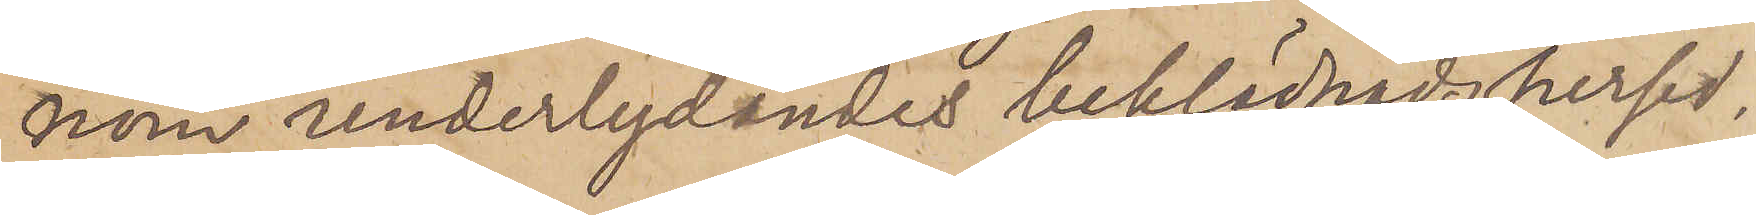nom underlydandes beklädnadspersed¬
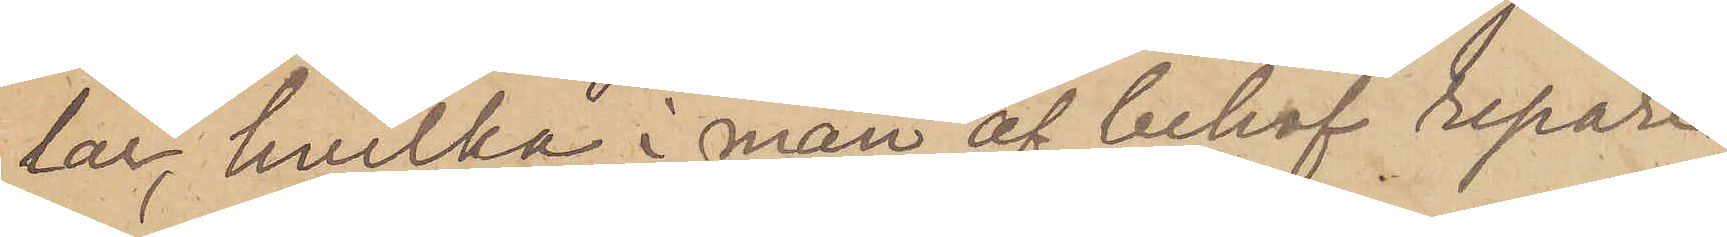lar, hvilka i mån af behof repare¬
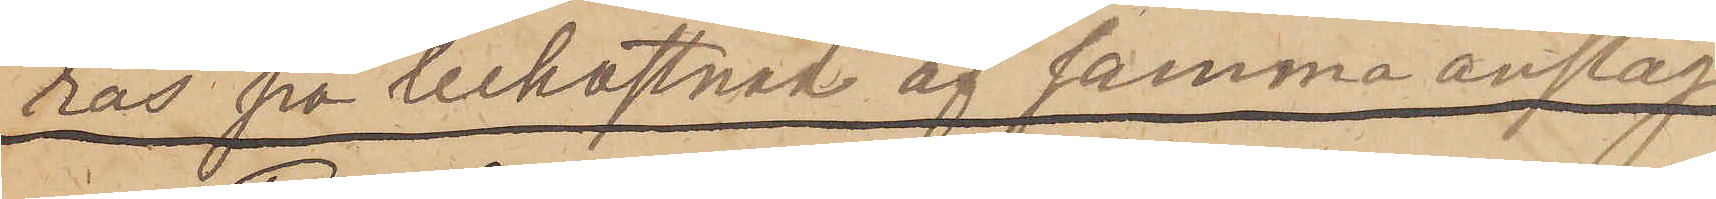ras på bekostnad af samma anslag.
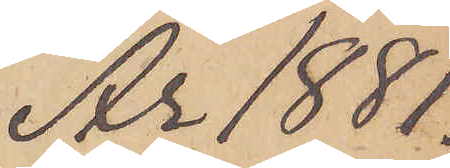År 1881.
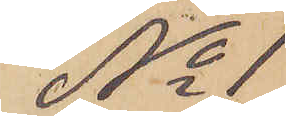No 1
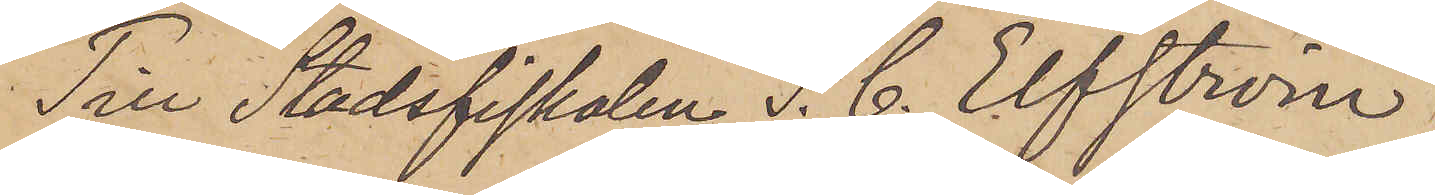Till Stadsfiskalen S. C. Elfström
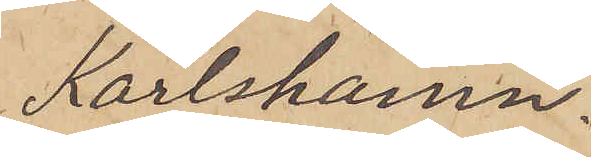Karlshamn.
